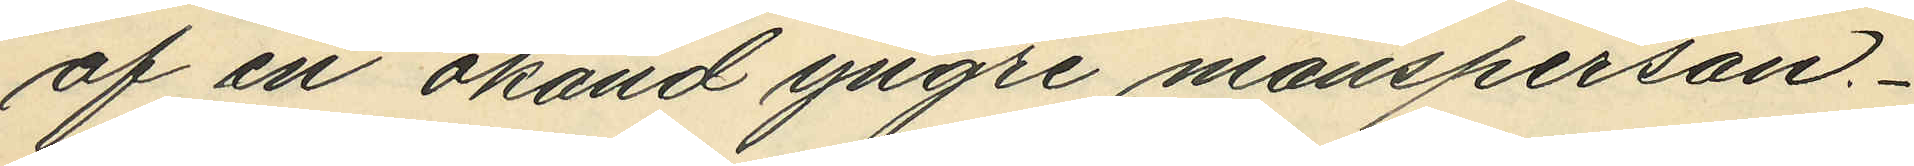af en okänd yngre mansperson.
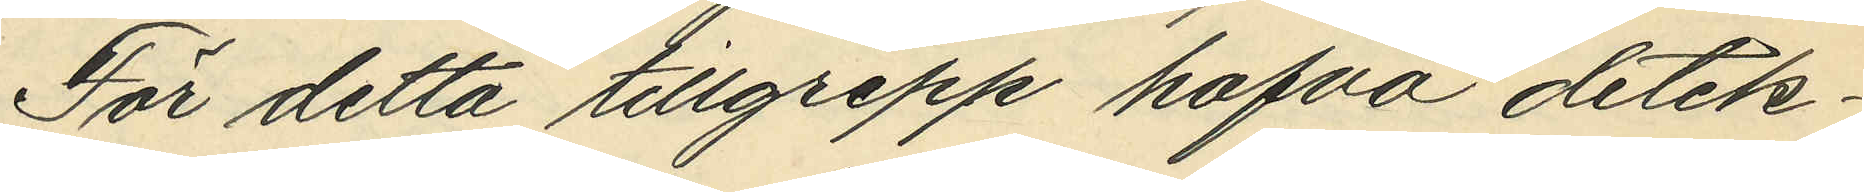För detta tillgrepp hafva detek¬
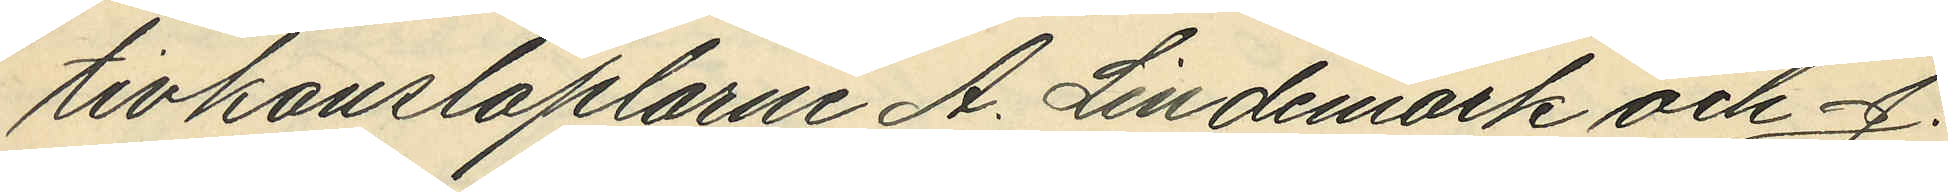tivkonstaplarne A. Lindemark och J.
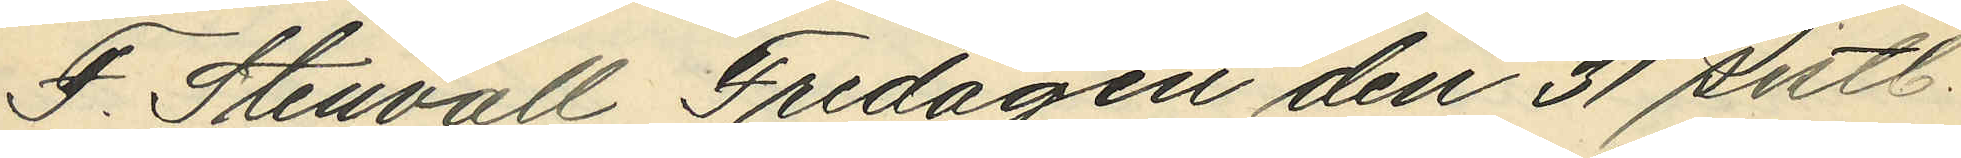F. Stenvall Fredagen den 31 sistl.
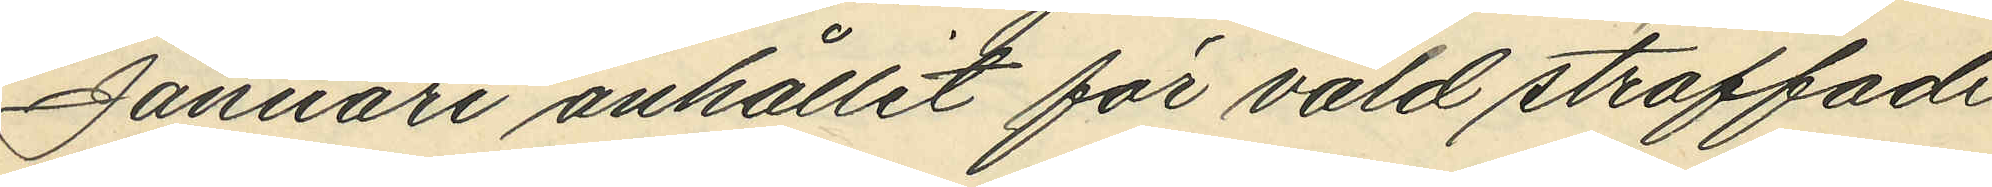Januari anhållit för våld straffade
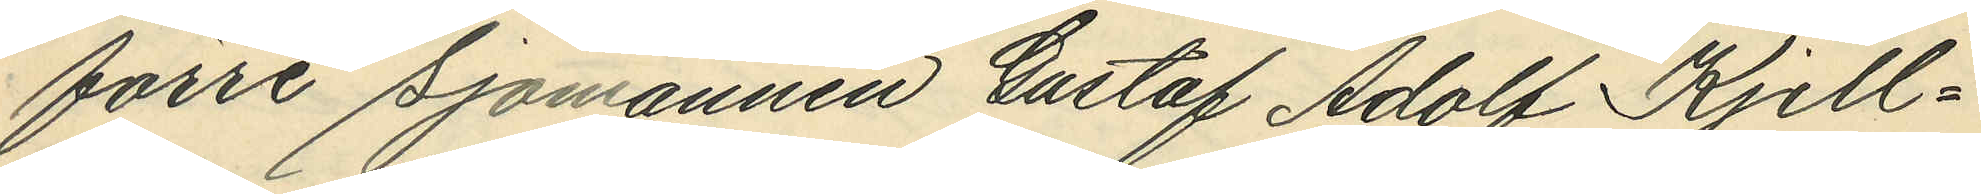förre Sjömannen Gustaf Adolf Kjell¬
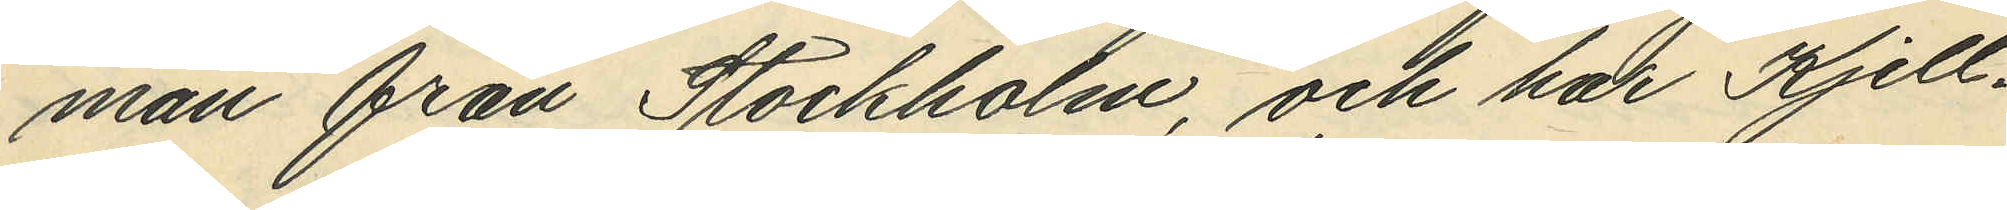man från Stockholm, och har Kjell¬
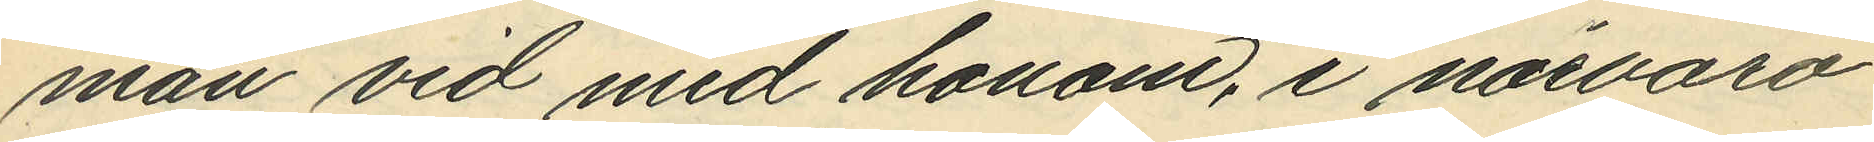man vid med honom, i närvaro
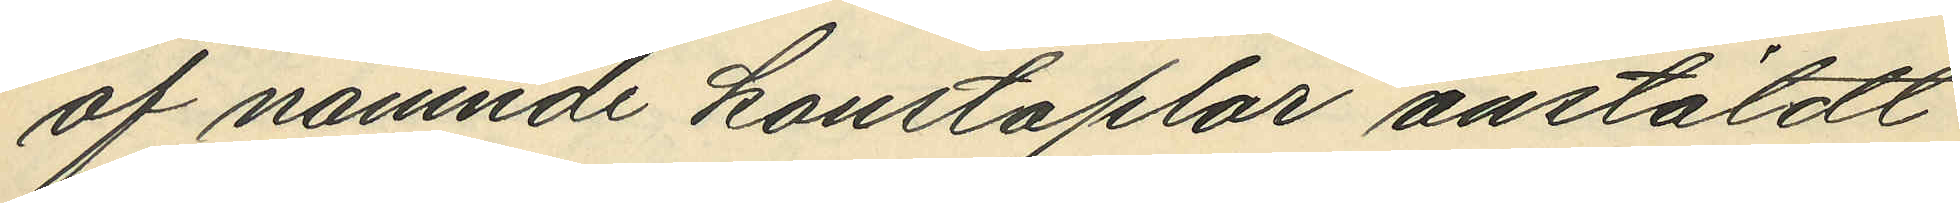af nämnde konstaplar anstäldt
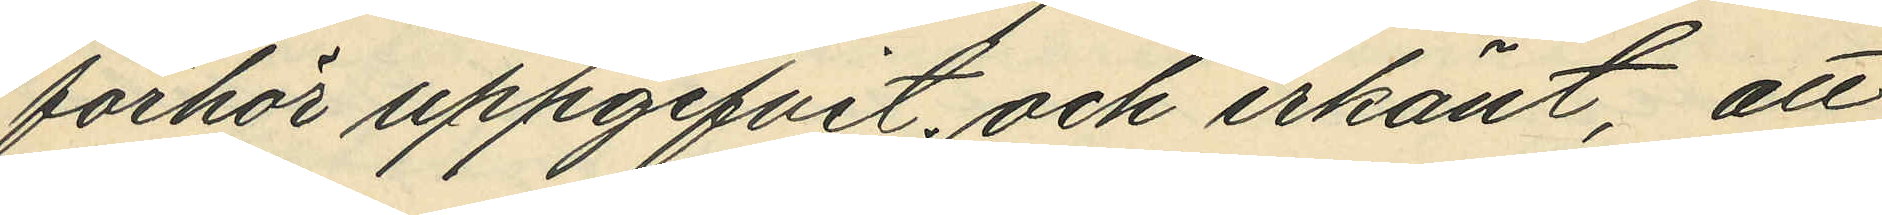förhör uppgifvit och erkänt, att
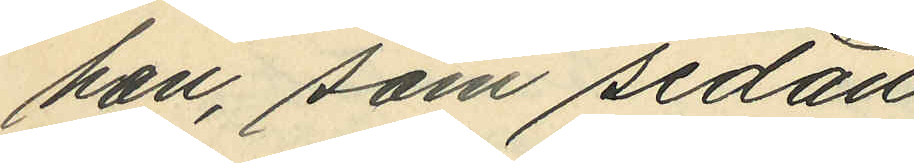han, som sedan  
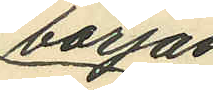början
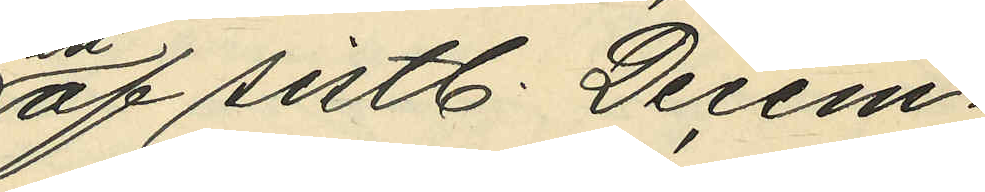af sistl. Decem¬
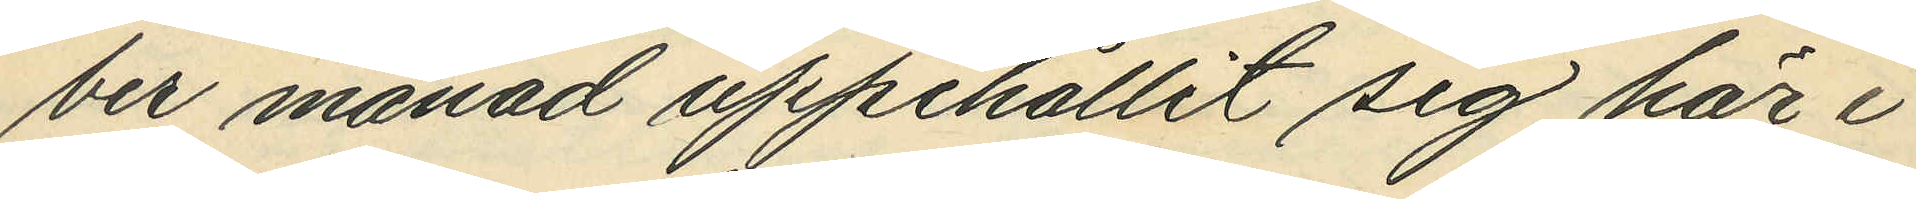ber månad uppehållit sig här i
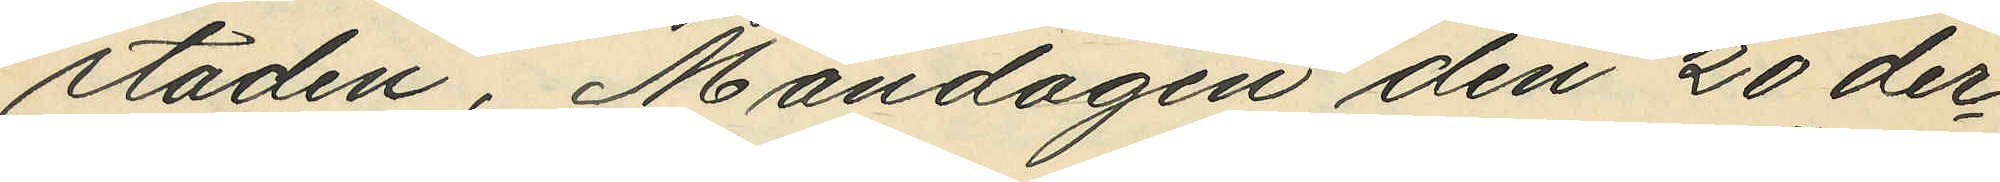staden, Måndagen den 20 der¬
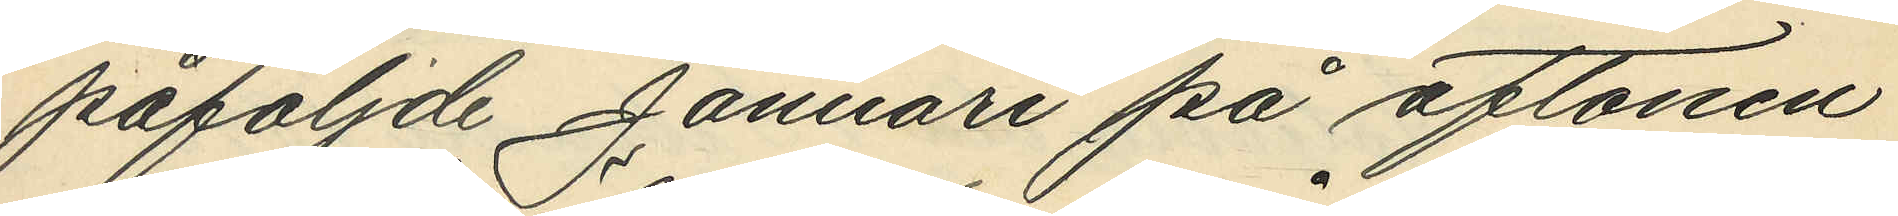påföljande Januari på aftonen
